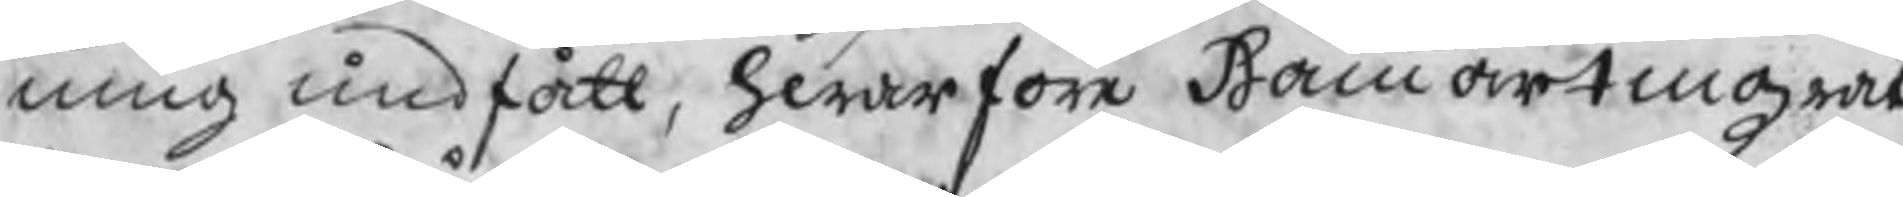ning undfått, hwarföre Hammartingzrät:
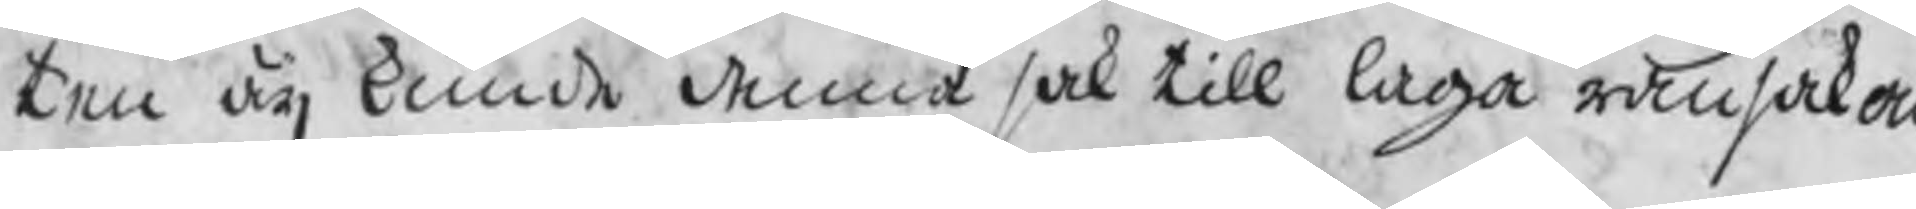ten äij kunde denna sak till laga ransakan
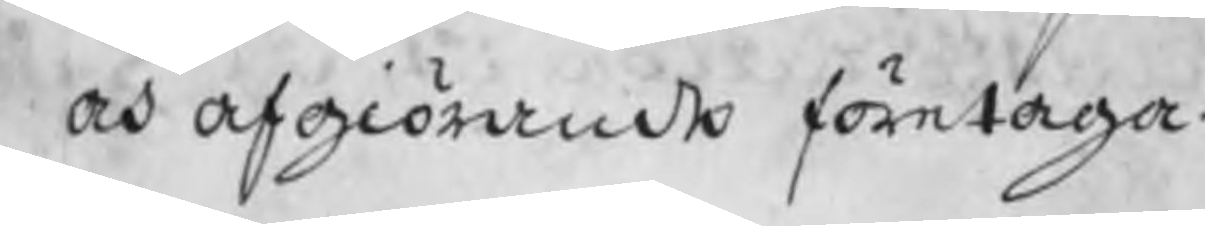och afgiörande företaga.
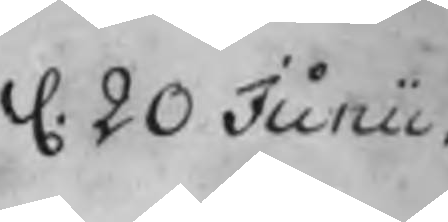d. 20 Junii.
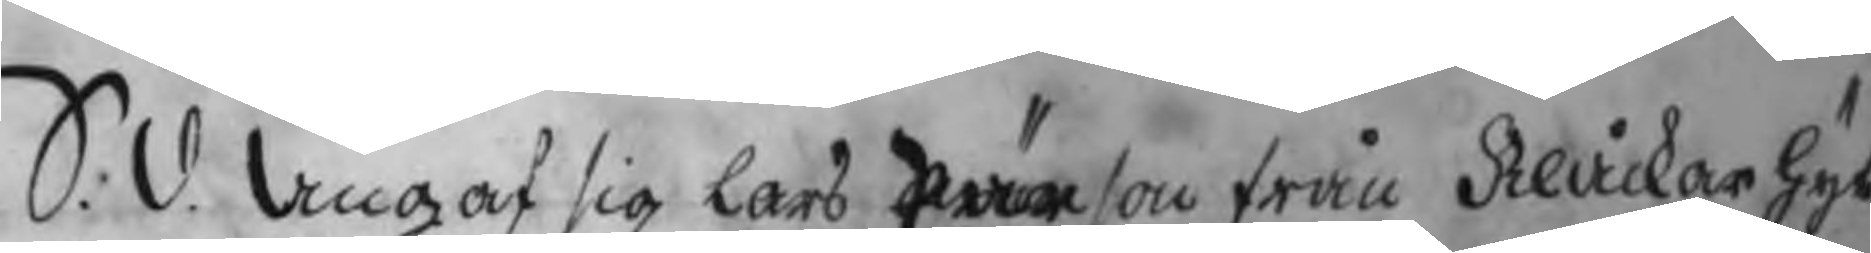S. d. Angaf sig Lars Pärson från Klåckarhyt¬
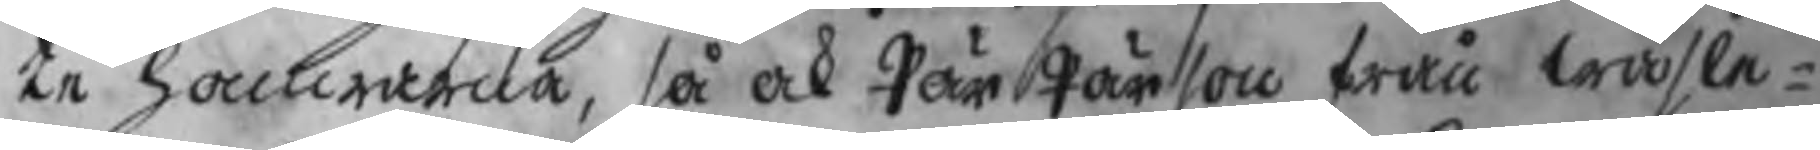te hammarna, så ock Pär Pärson från wasle¬
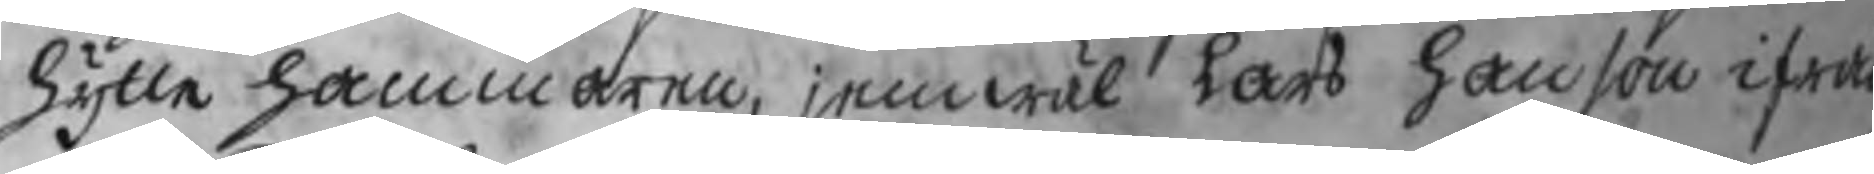hytte hammaren, jemwäl Lars Hanson ifrån
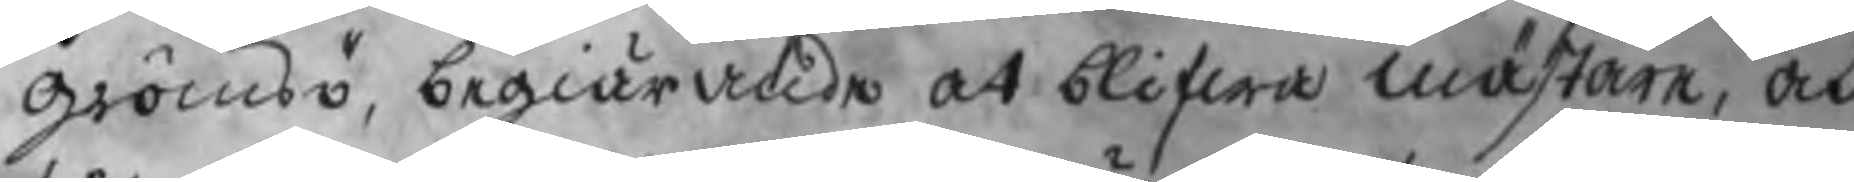Grömsö, begiärade at blifwa mästare, och
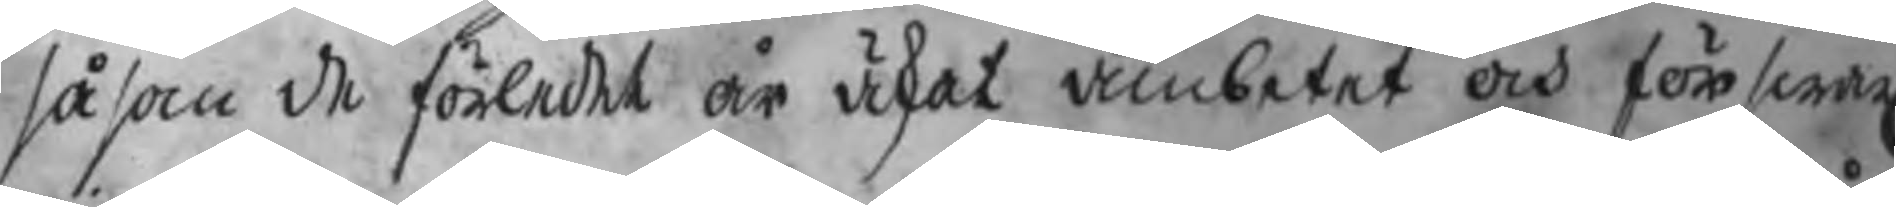såsom de förledet år äskat ämbetet och förswar
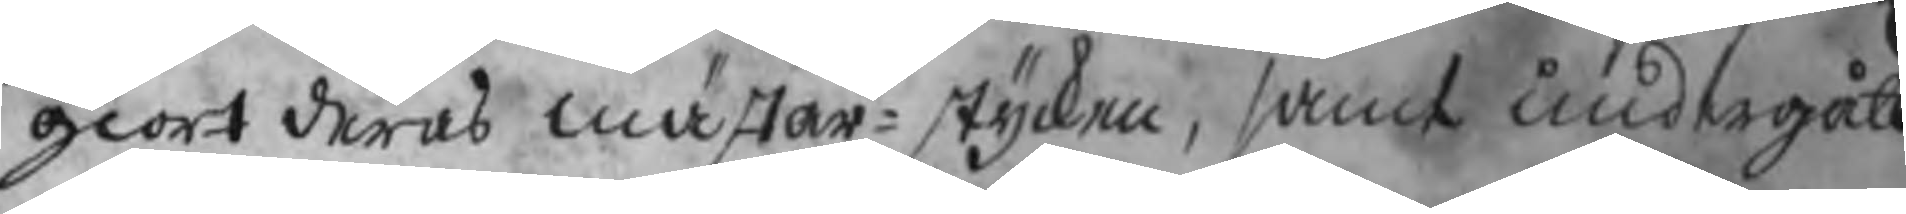giort deras mästar¬stycken, samt undergått
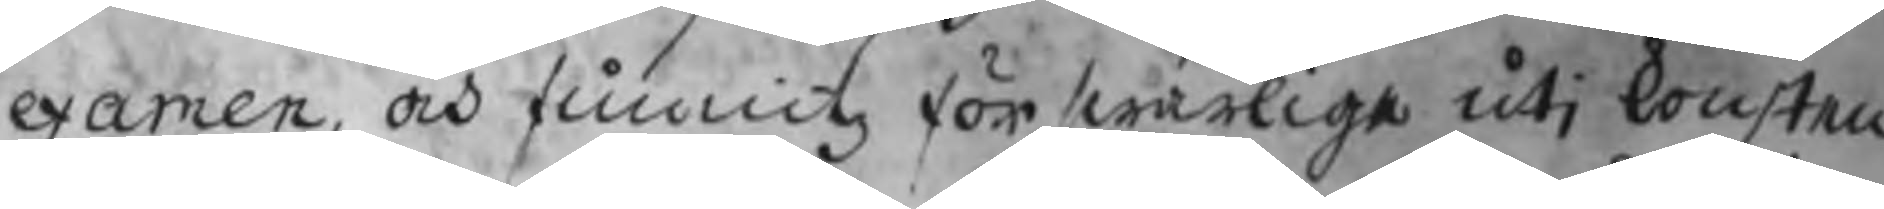examen, och funnitz förswarlige uti konsten
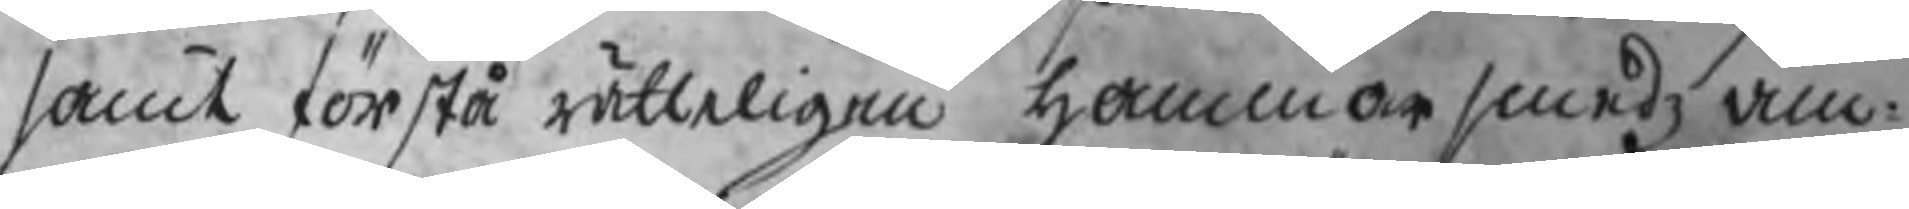samt förstå rätteligen hammarsmedz äm¬
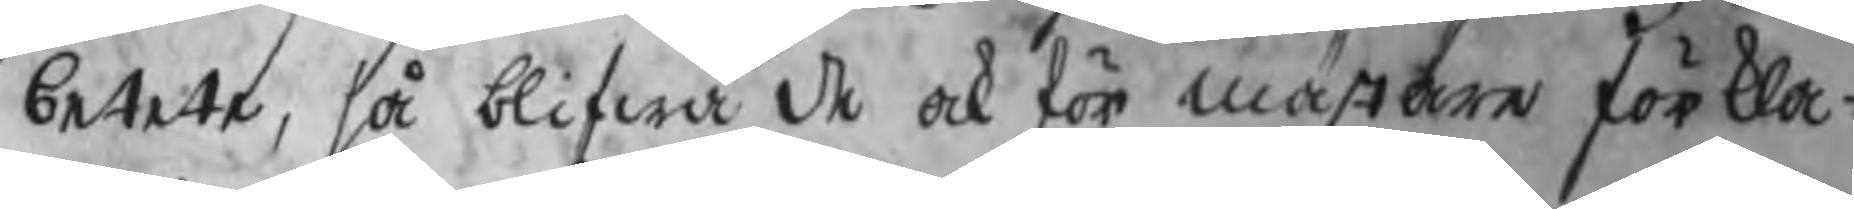betete, så blifwa de ock för mästare förkla¬
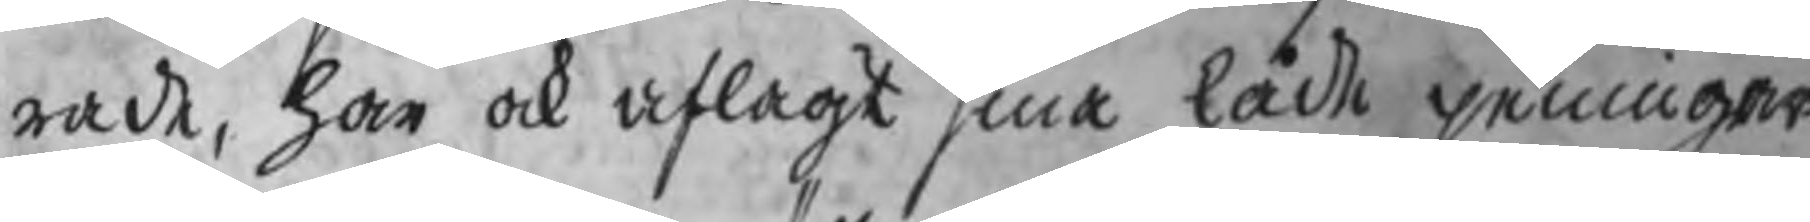rade, har ock aflagt sina låde peningar.
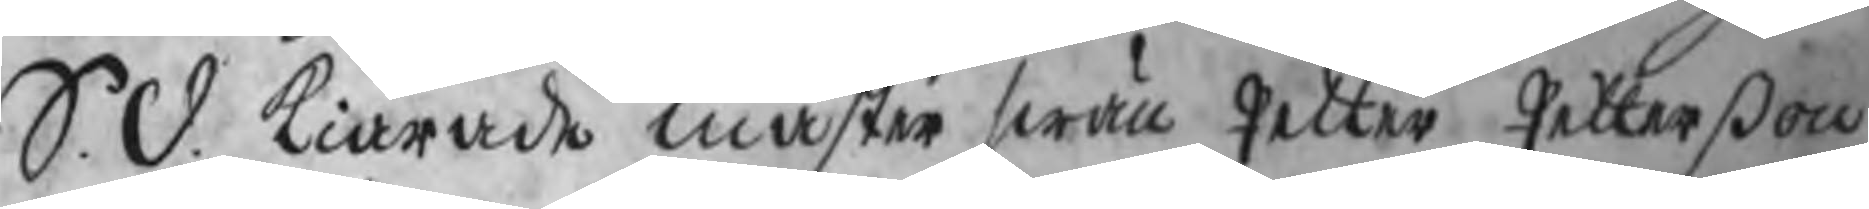S. d. kiärade mäster swän Petter Petterßon
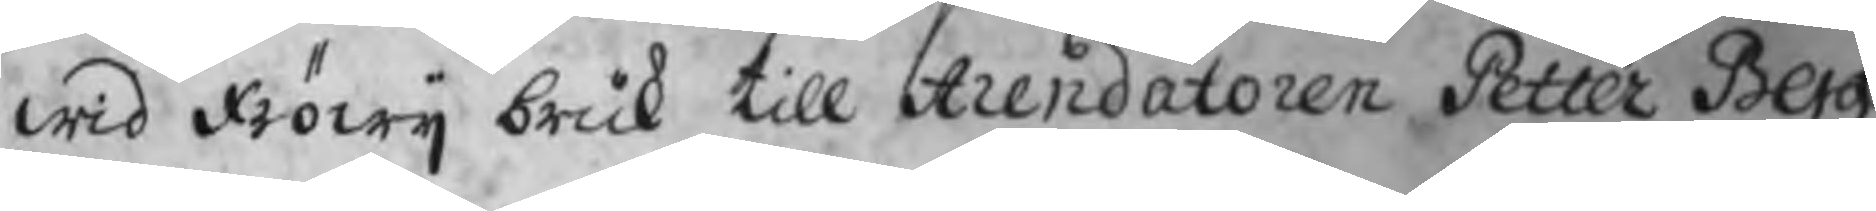wid Fröwij bruk till Arendatoren Petter Berg:
